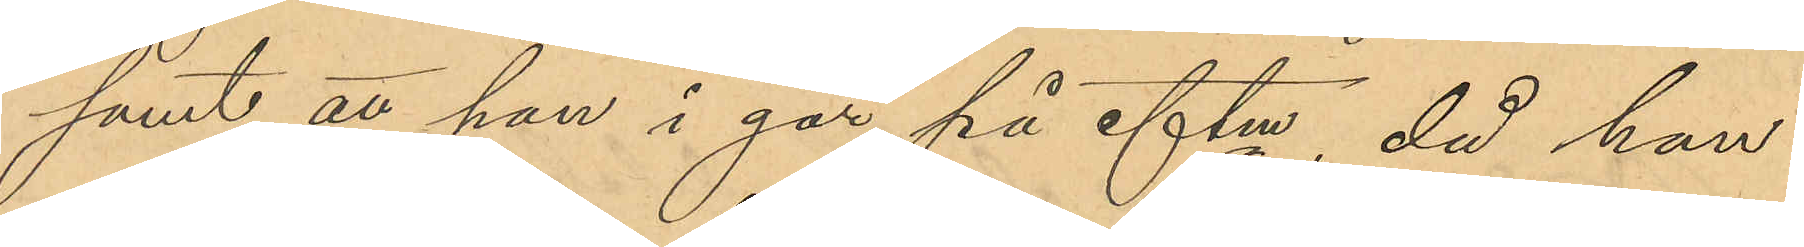samt att han i går på eftm, då han,
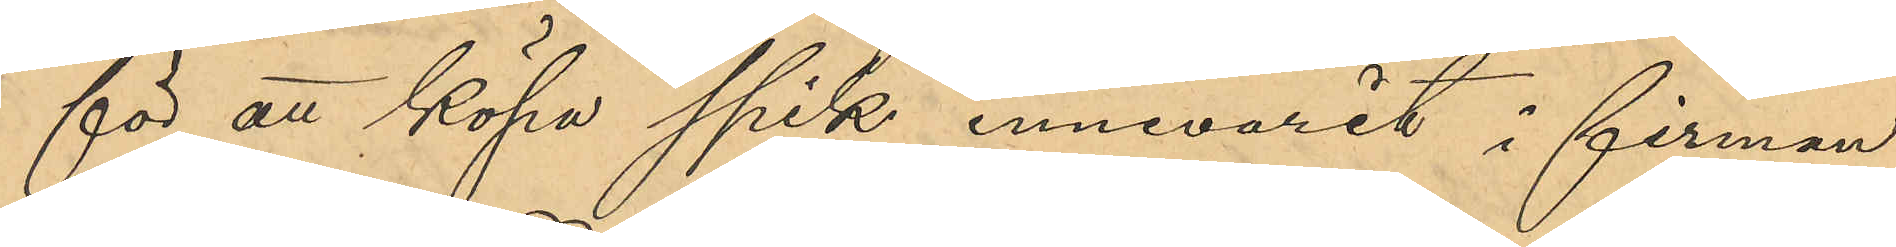för att köpa spik innevarit i firman
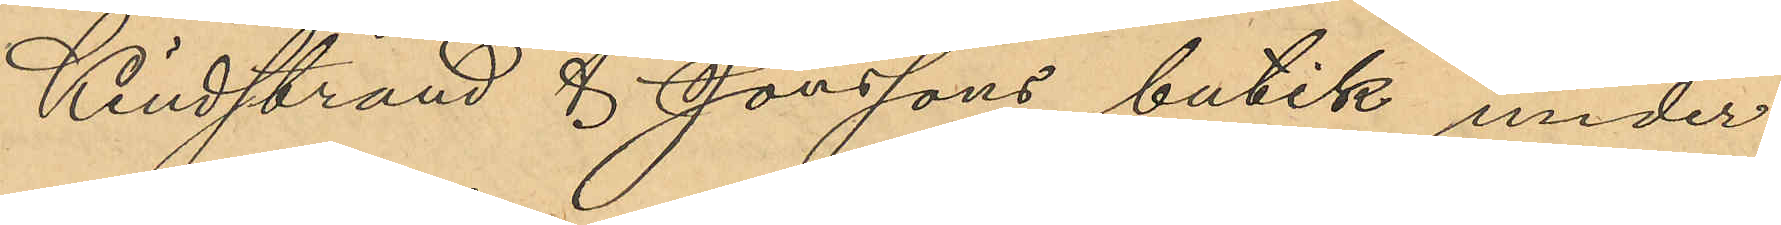Kindstrand & Jönssons butik under
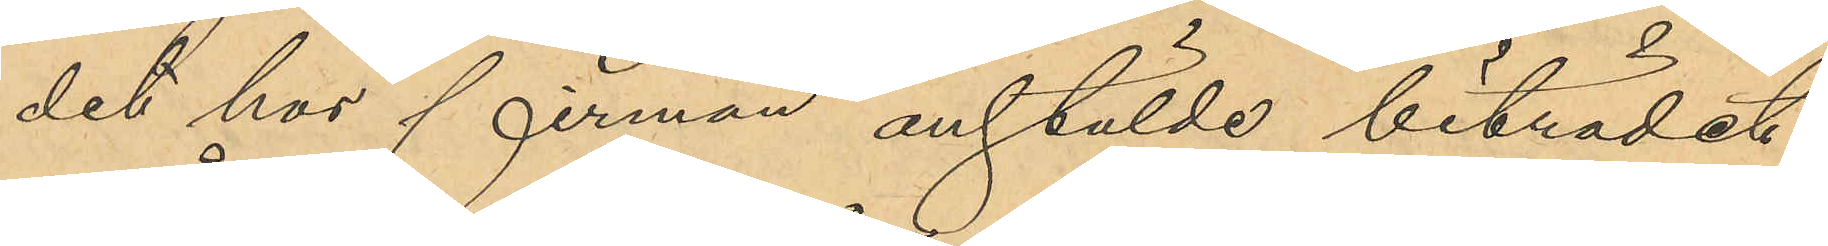det hos firman anstälde biträdet
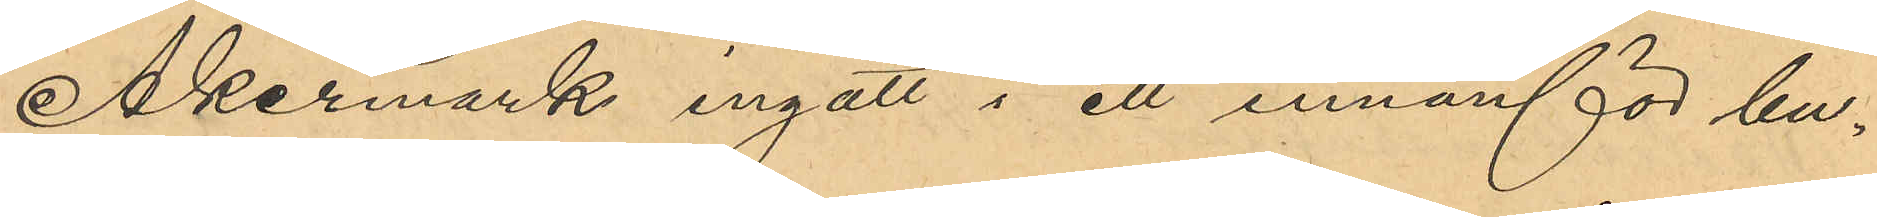Åkermark ingått i ett innanför bu¬
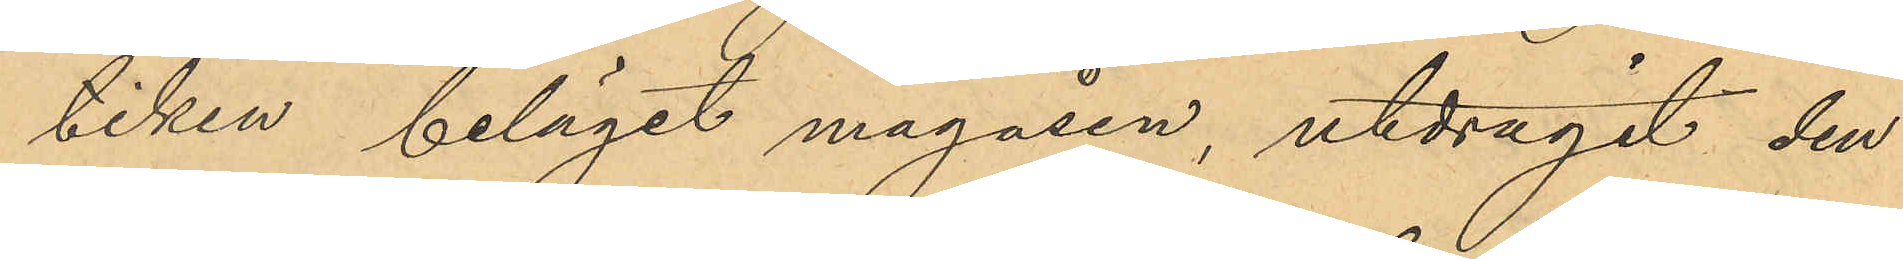tiken beläget magasin, utdragit den
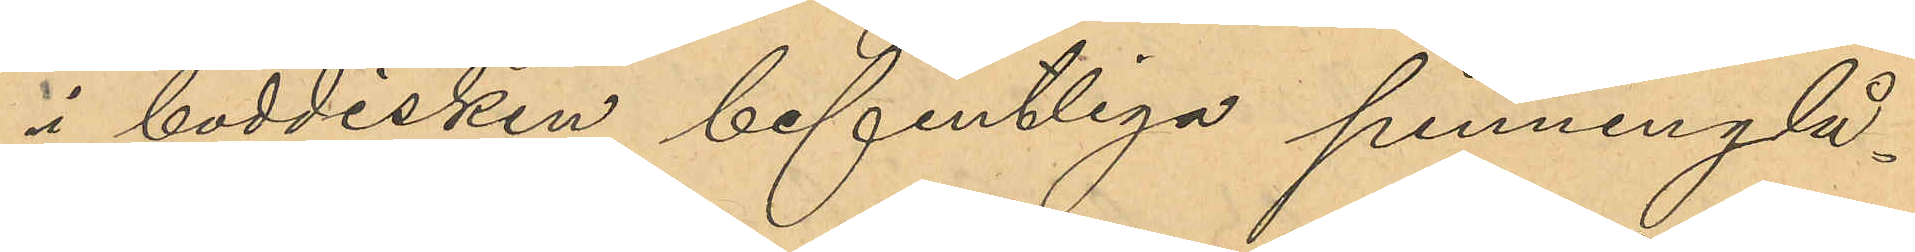i boddisken befintliga penninglå¬
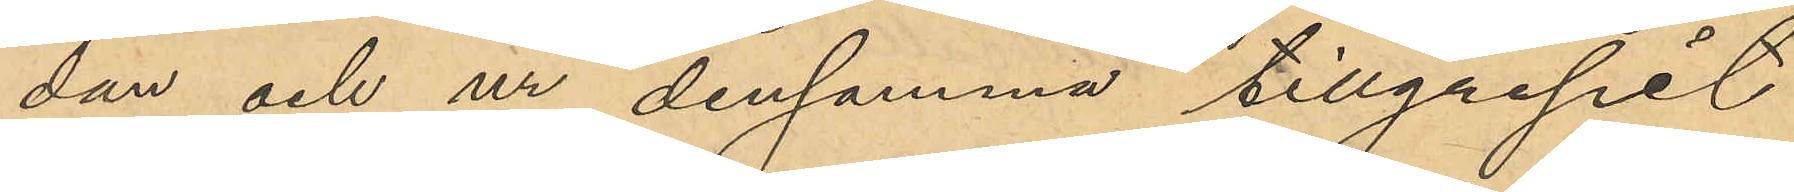dan och ur densamma tillgripit
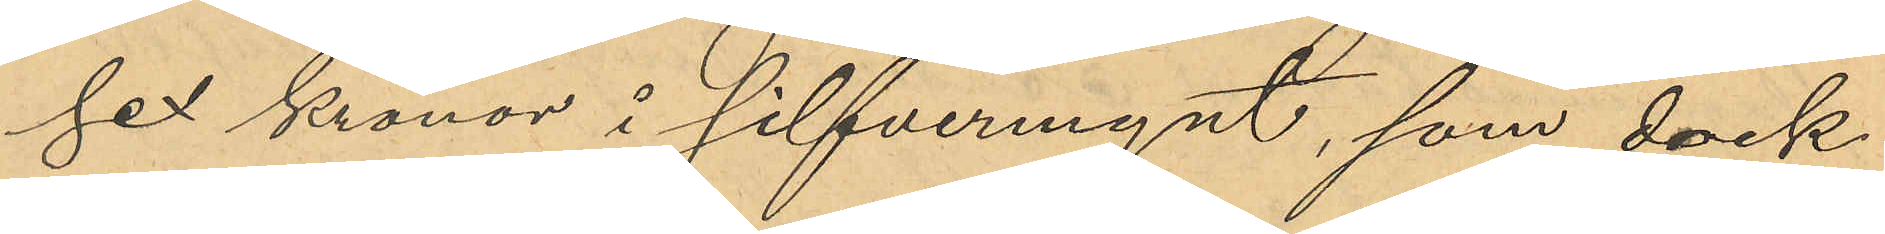sex kronor i silfvermynt, som dock
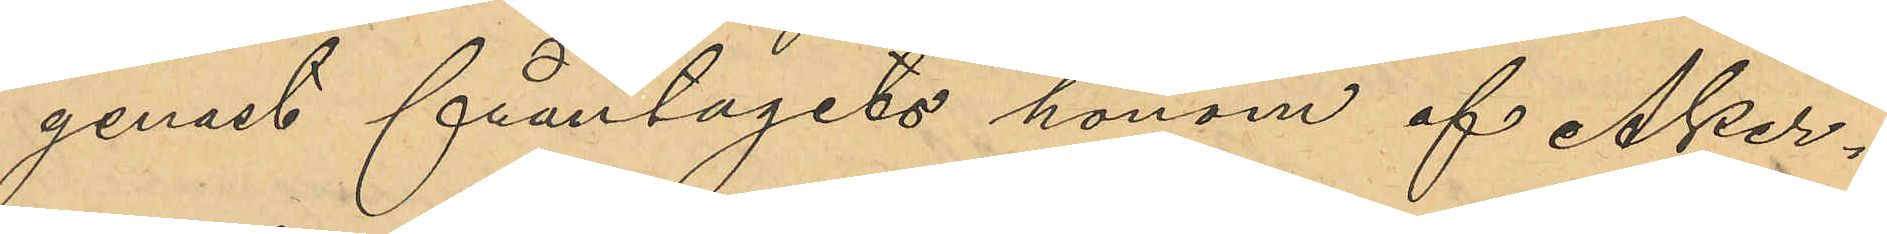genast fråntagits honom af Åker¬
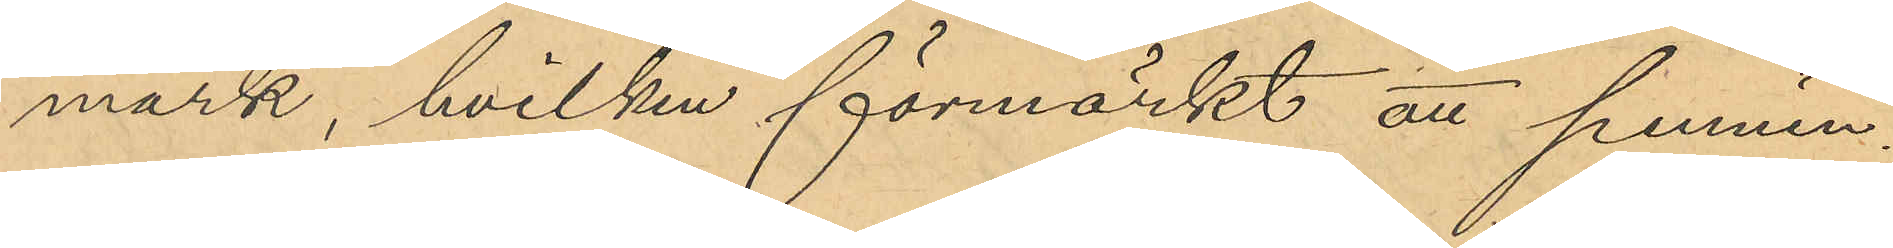mark, hvilken förmärkt att pennin¬
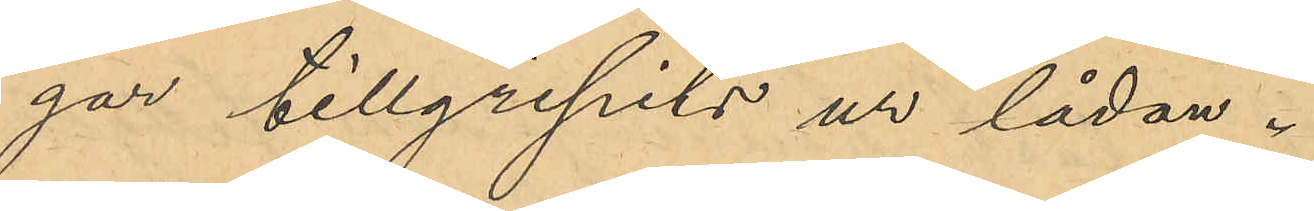gar tillgripits ur lådan.
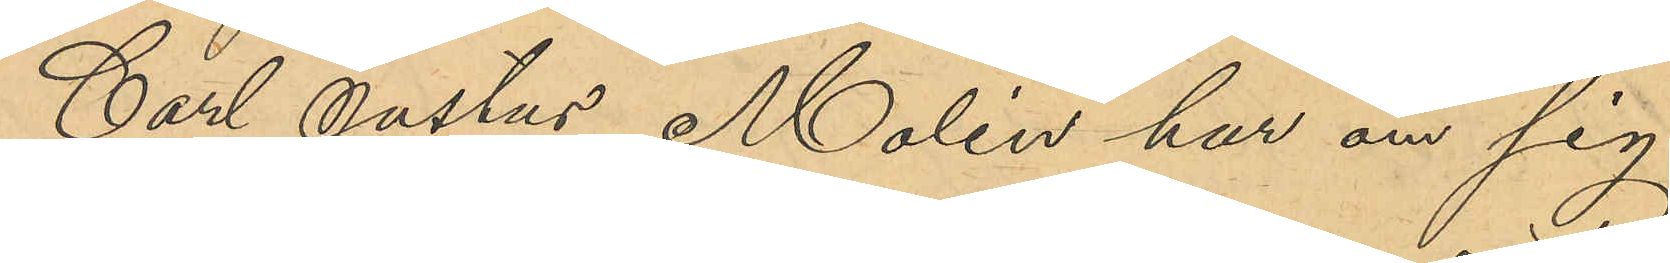Carl Justus Molin har om sig
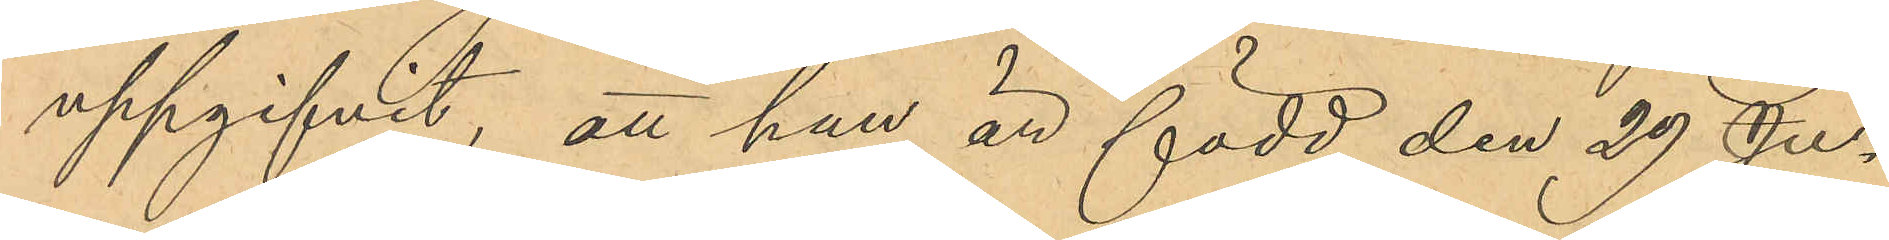uppgifvit, att han är född den 29 Ju¬
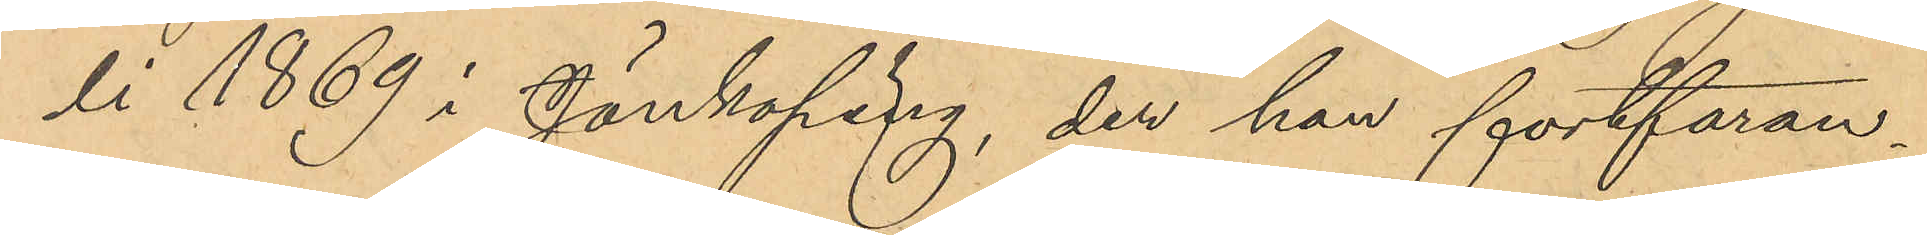li 1869 i Jönköping, der han fortfaran¬
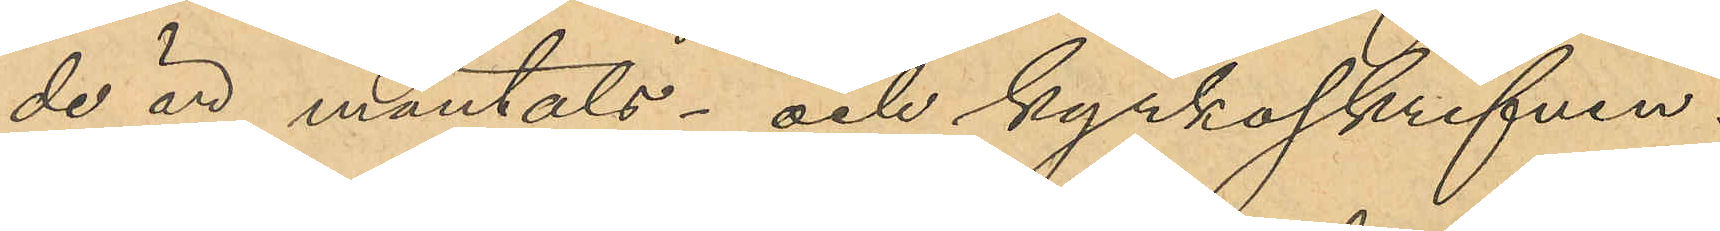de är mantals- och kyrkoskrifven.
